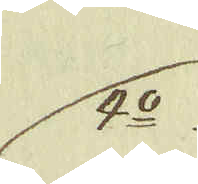4:o
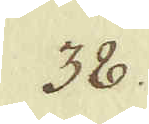38.
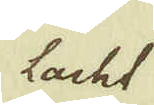lacht
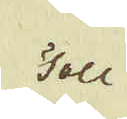Toll
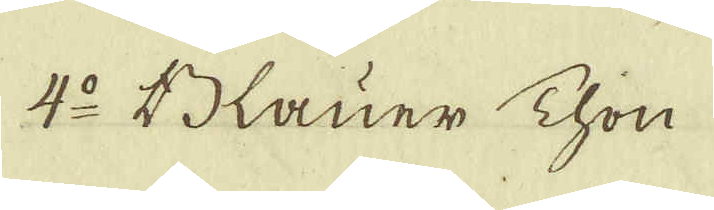4:o Blauer Thon
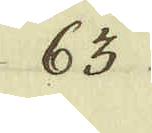63
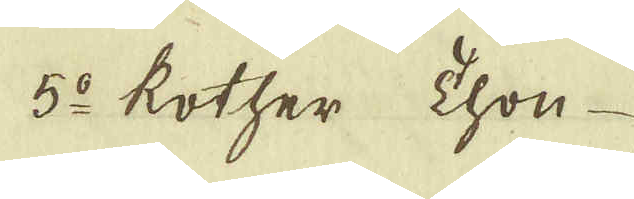5:o kother thon
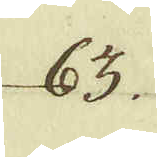63
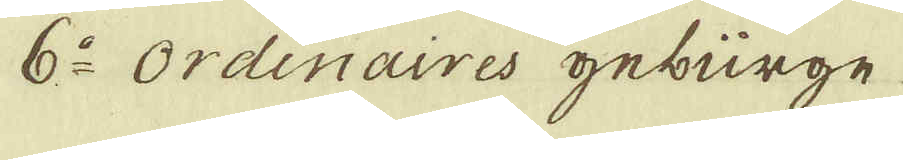6:o Ordinaires geburge
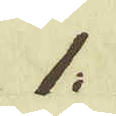1:
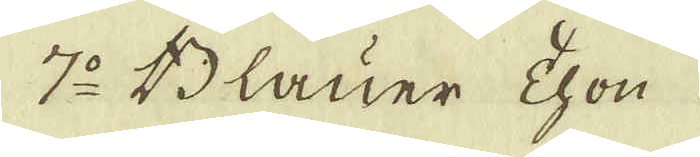7:o Blauer Thon
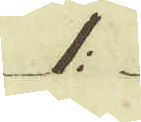1:
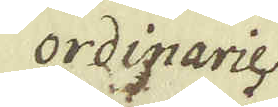ordinarie
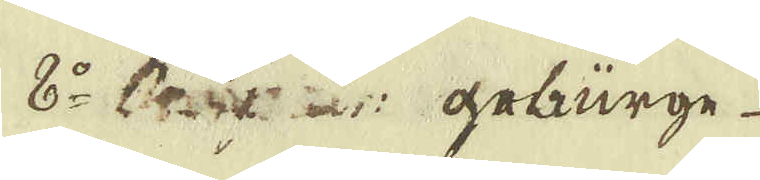8:o Ordinar: geburge.
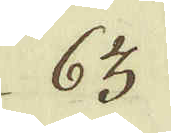63
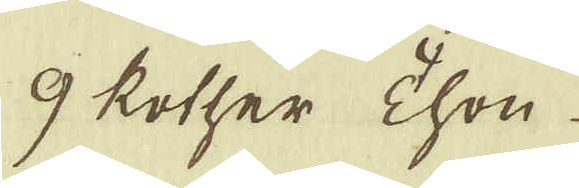9 kother Thon
